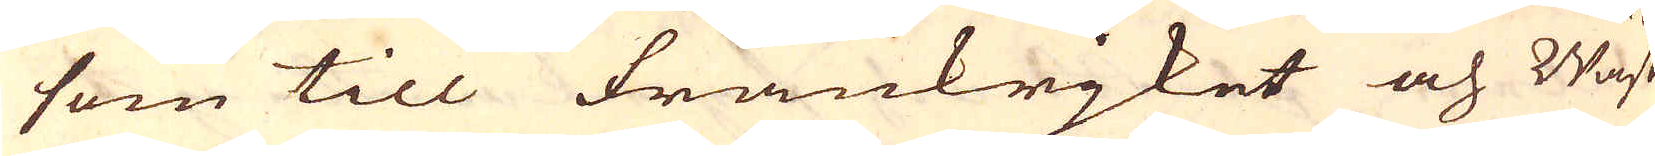som till Frankrjket och Wäst-
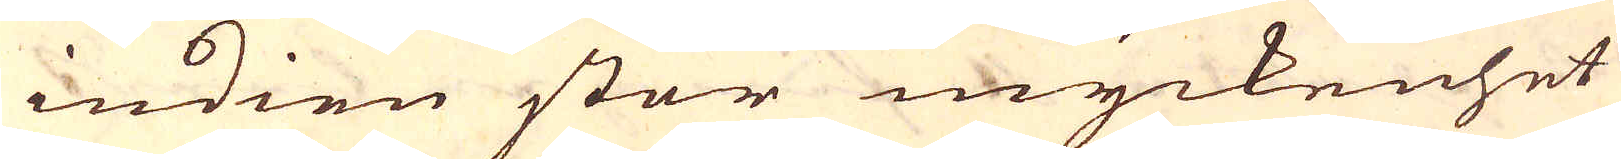indien stor myckenhet
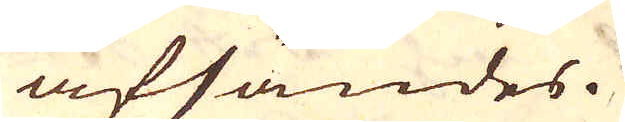afsändes.
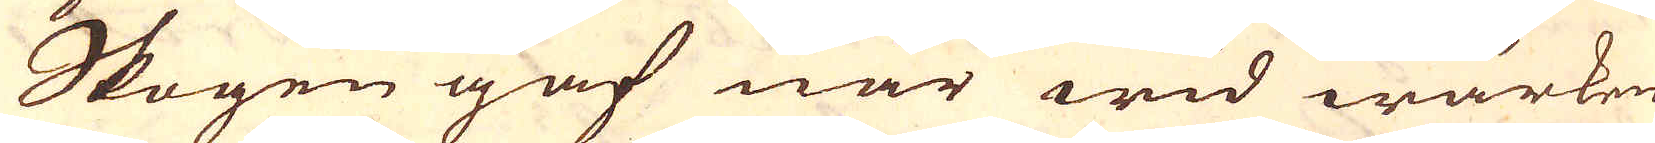Skogen gaf när wid wärken
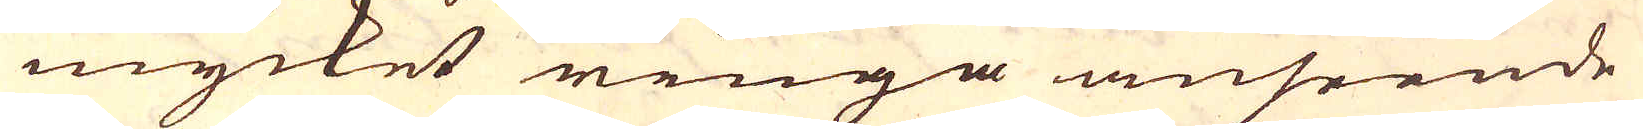mycket ringa anseende
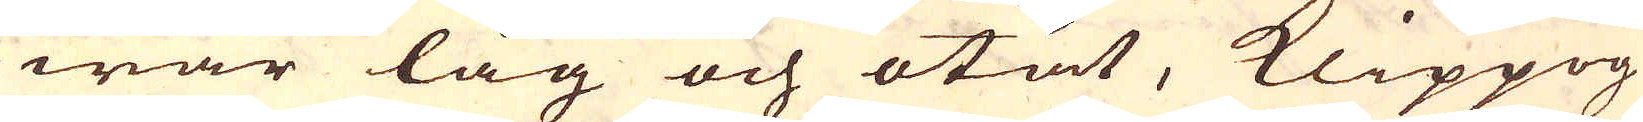war låg och otät, Klippog
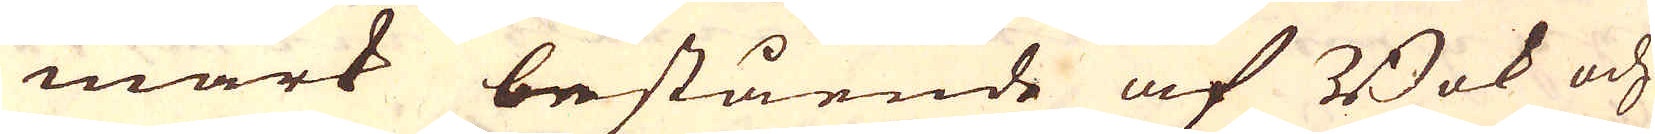mark bestående af Bok och
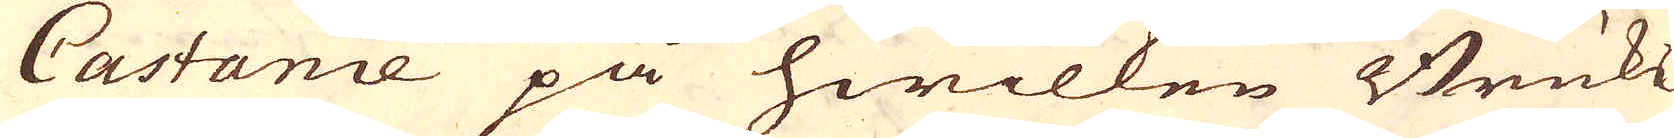Castanie på hwilken Bruks
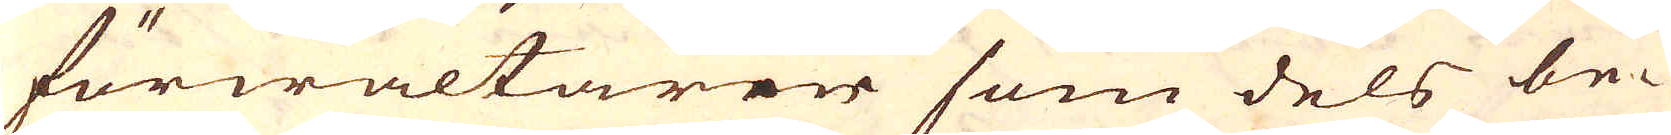förwaltarne som dels be-
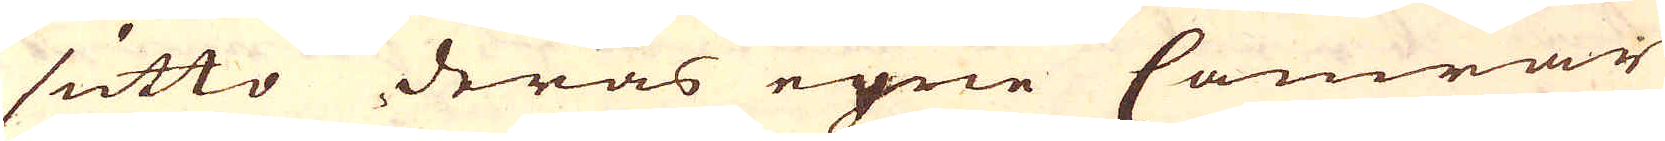sutto deras egne Camrar
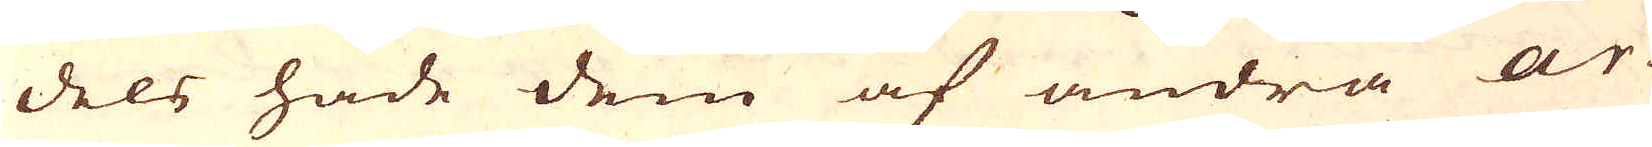dels hade dem af andra ar-
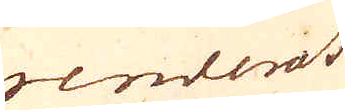renderat
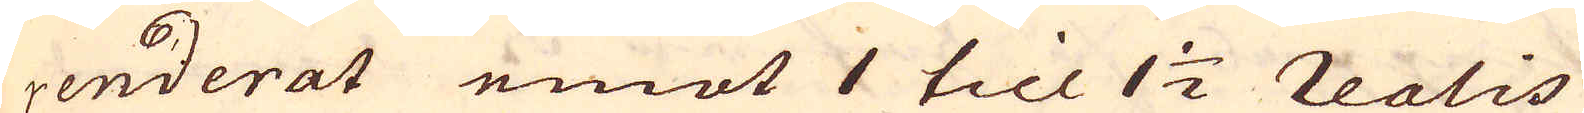renderat emot 1 till 1 1/2 realis
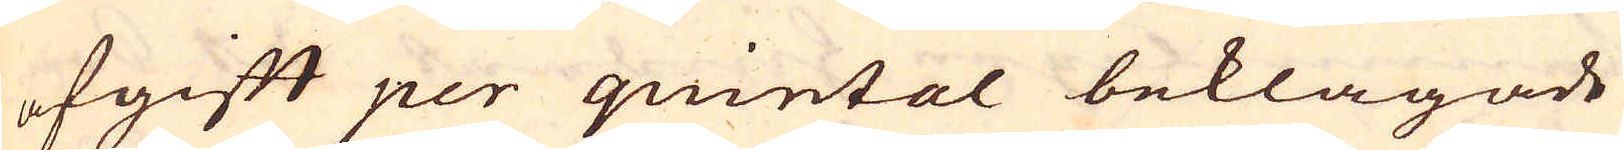afgift per quintal beklagade
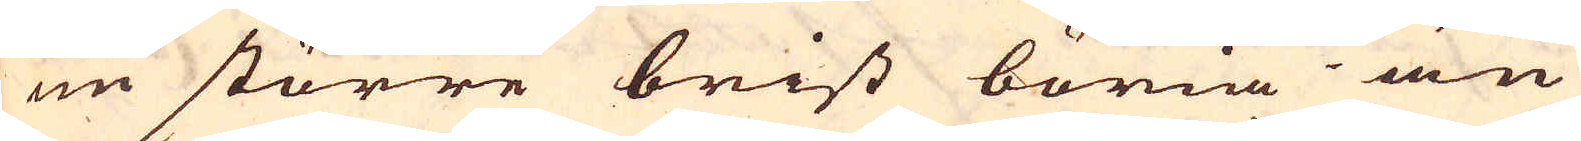nu större brist böria än
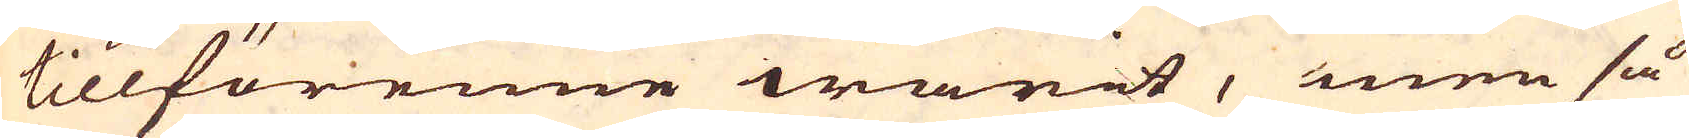tillförenne warit, men så
